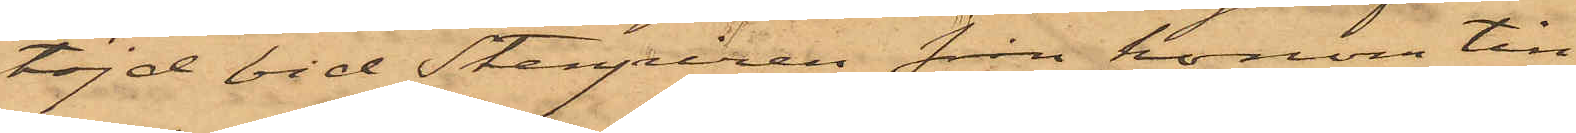töjd vid Stenpiren från honom till¬
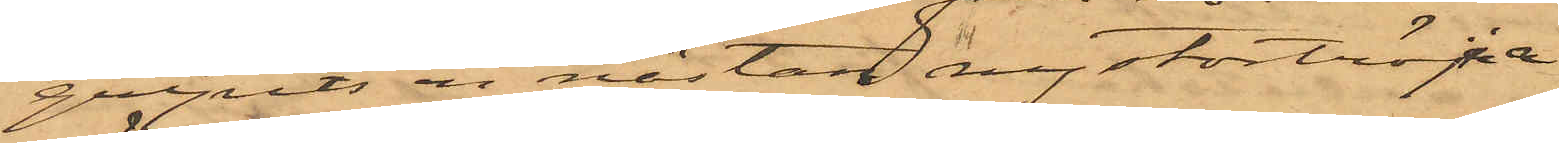gripits en nästan ny stortröja
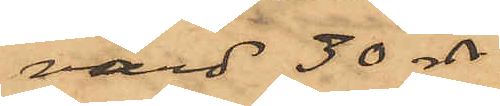värd 30 rdr.
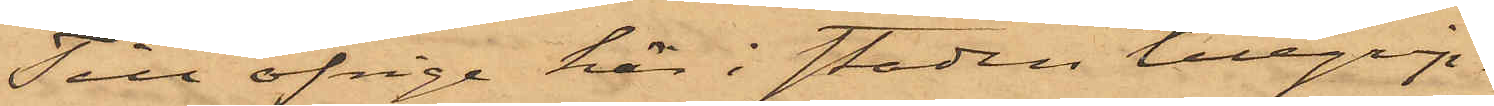Till öfrige här i staden tillgrip¬
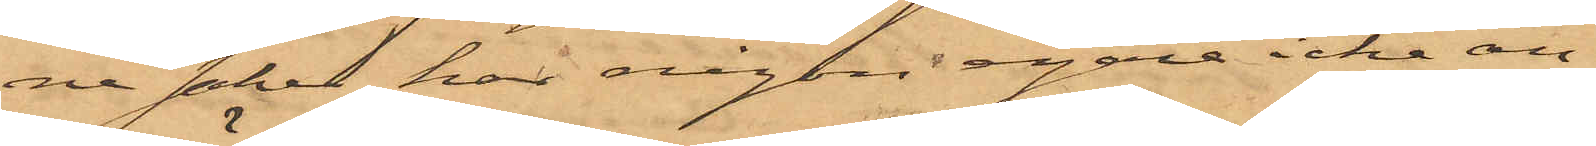ne saker har någon egare icke an¬
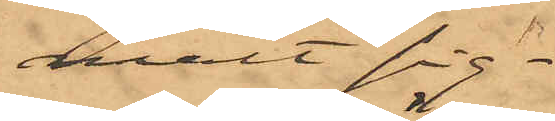mält sig.
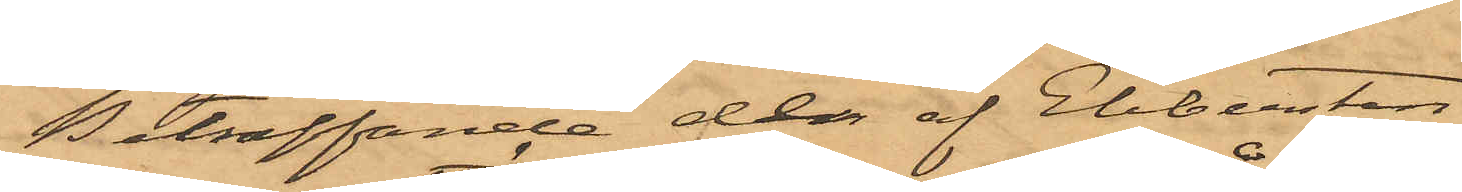Beträffande de af Ebbersten
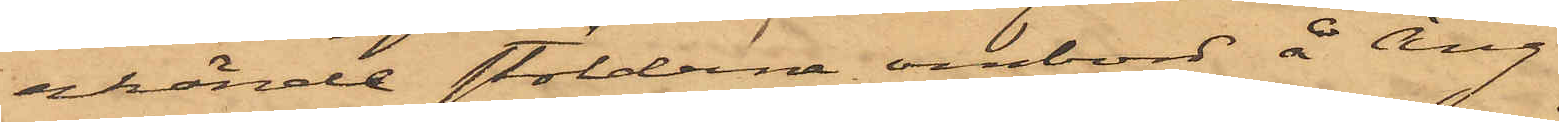erkände stölderne ombord å Ång¬
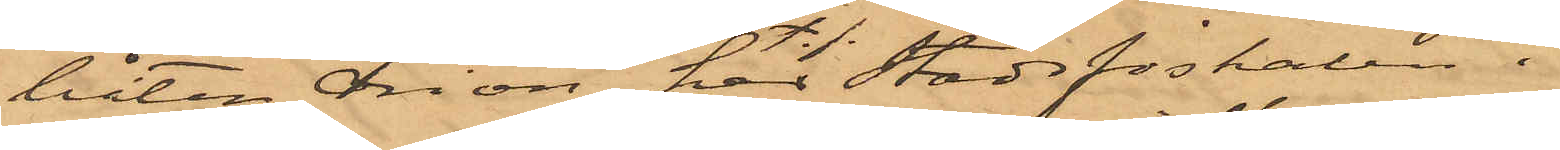båten Orion, har Stadsfiskalen i
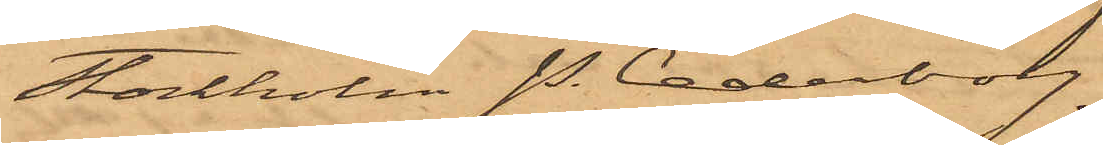Stockholm P. Cederborg,
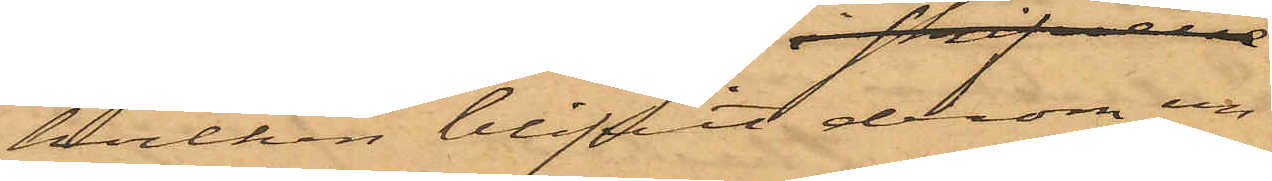hvilken blifvit derom un¬
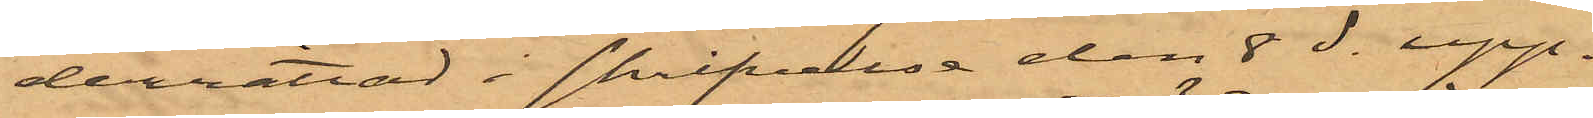derrättad i skrifvelse den 8 ds upp¬
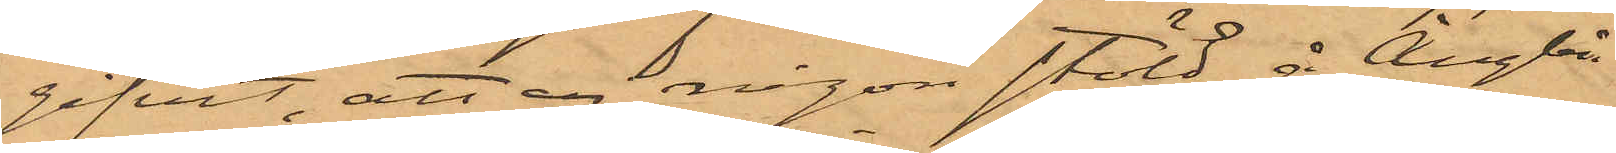gifvit, att ej någon stöld å Ångbå¬
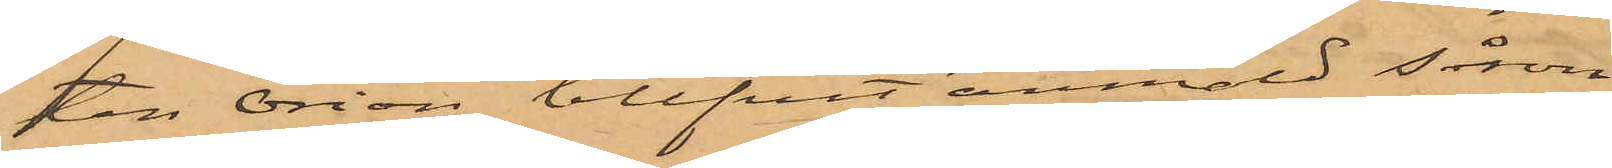ten Orion blifvit anmäld såsom
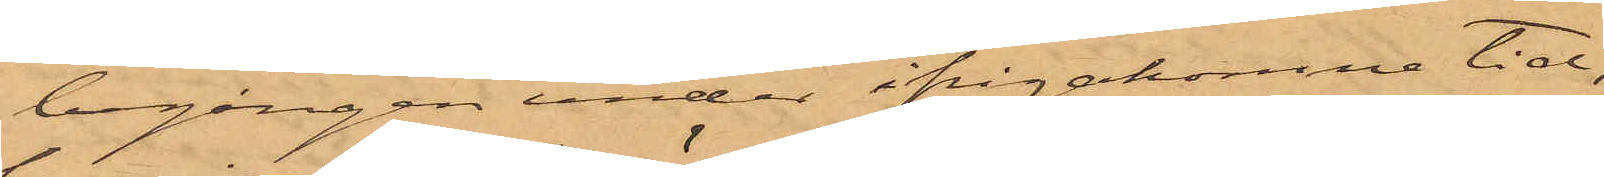begången under ifrågakomne tid,
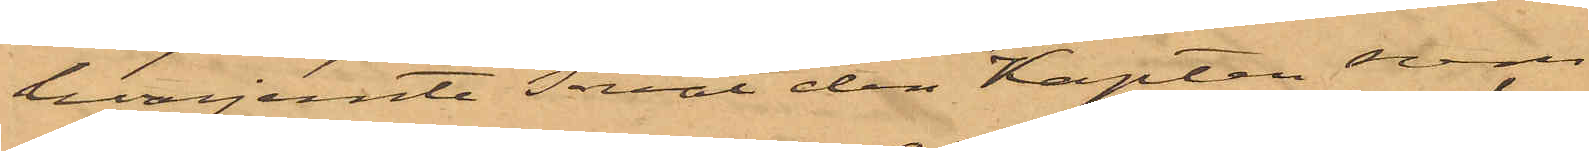hvarjemte sväl dess Kapten som
